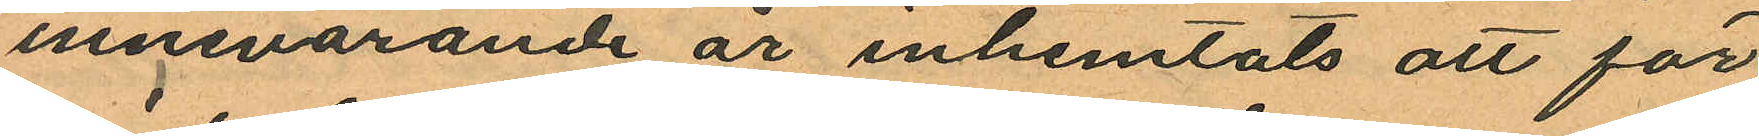innevarande år inhemtats att för
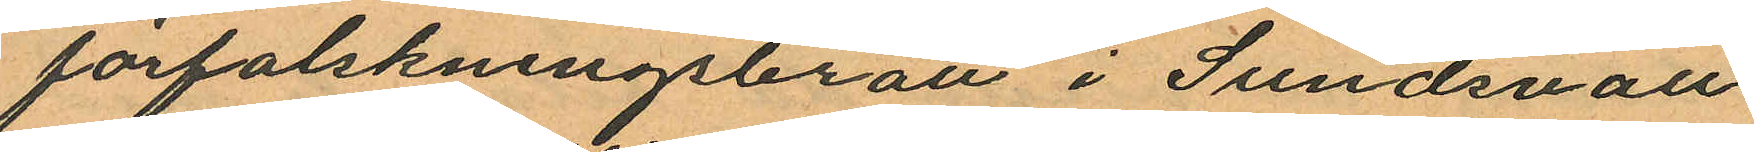förfalskningsbrott i Sundsvall
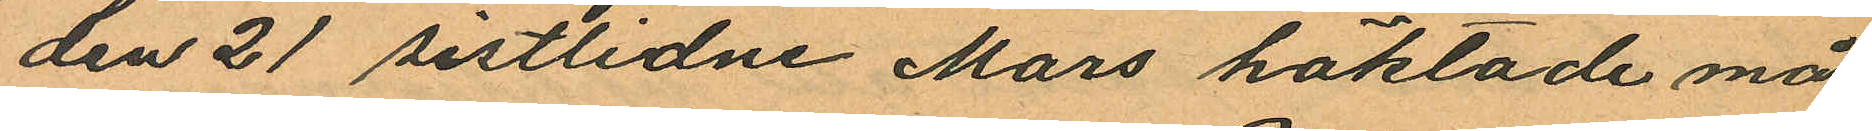den 21 sistlidne Mars häktade må¬
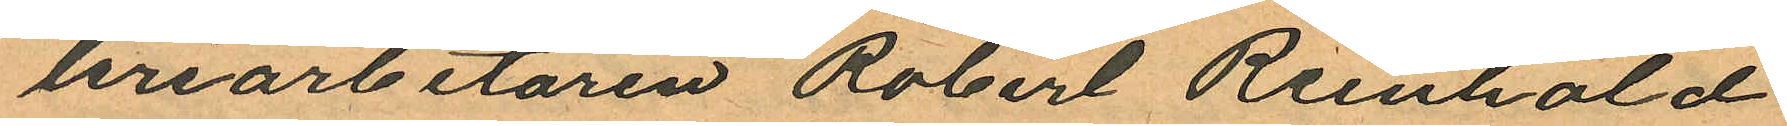leriarbetaren Robert Reinhold
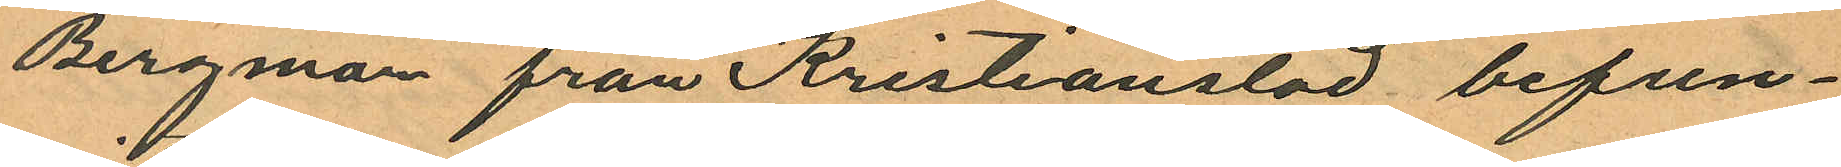Bergman från Kristianstad befun¬
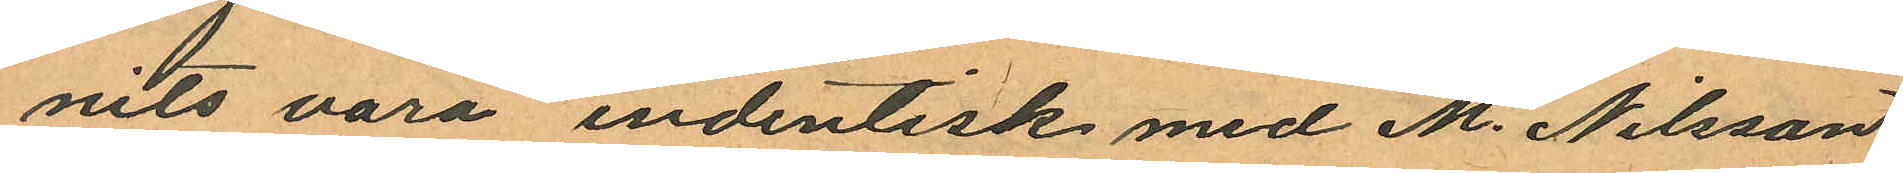nits vara endentisk med M. Nilsson
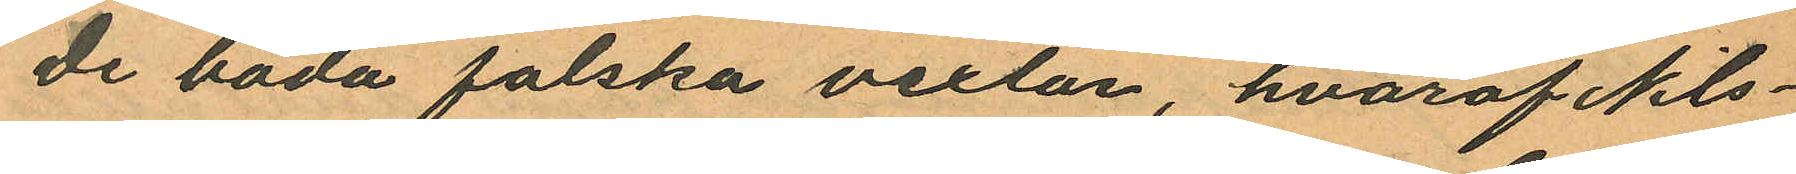de båda falska vexlar, hvaraf Nils¬
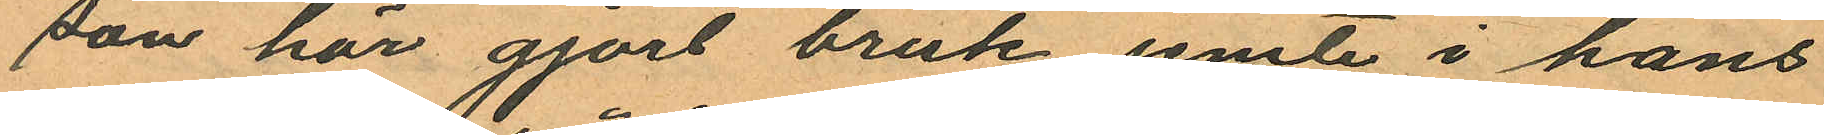son här gjort bruk jemte i hans
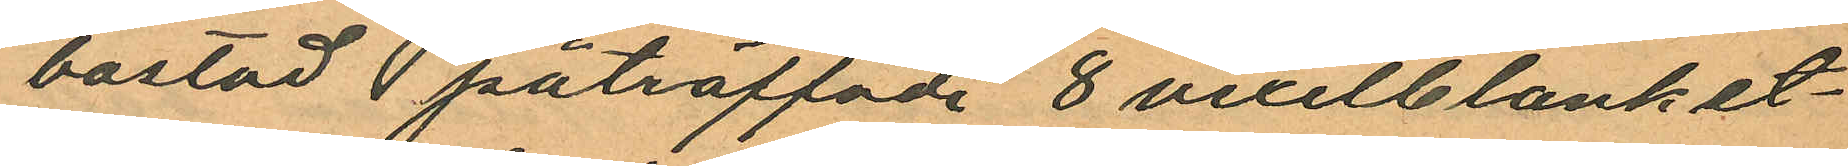bostad påträffade 8 vexelblanket¬
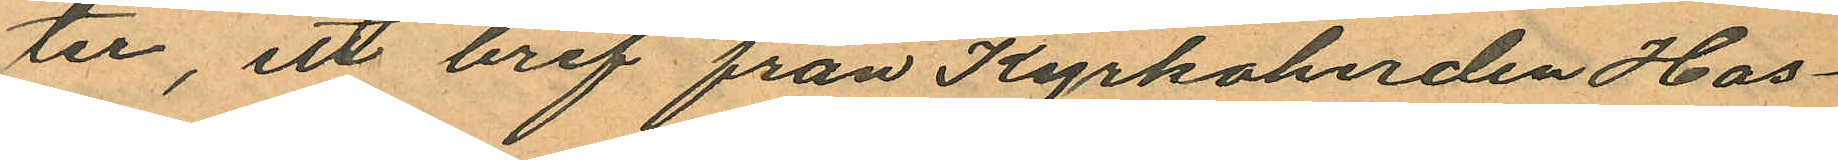ter, ett bref från Kyrkoherden Has¬
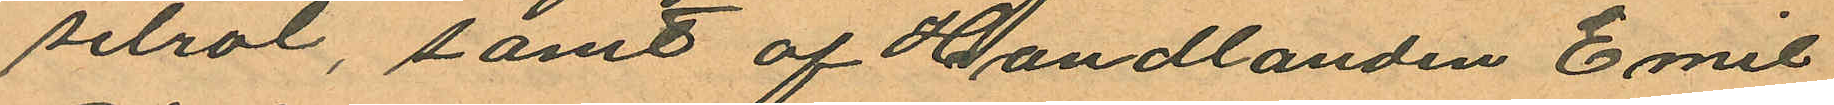selrot, samt af Handlanden Emil
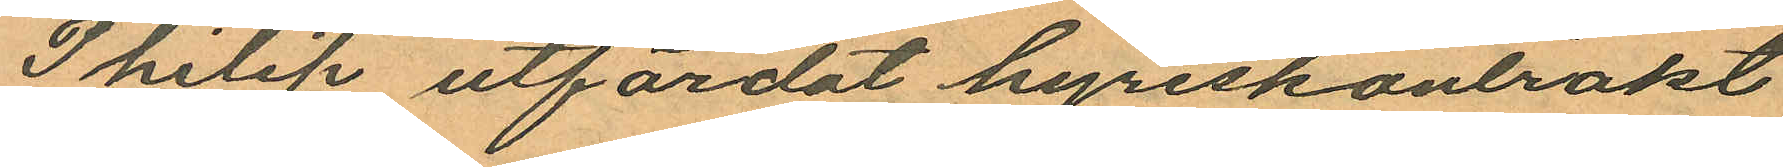Philip utfärdat hyreskontrakt
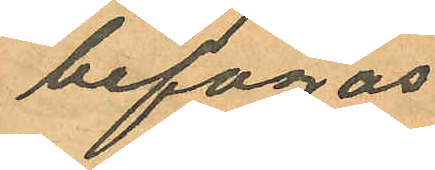befogas
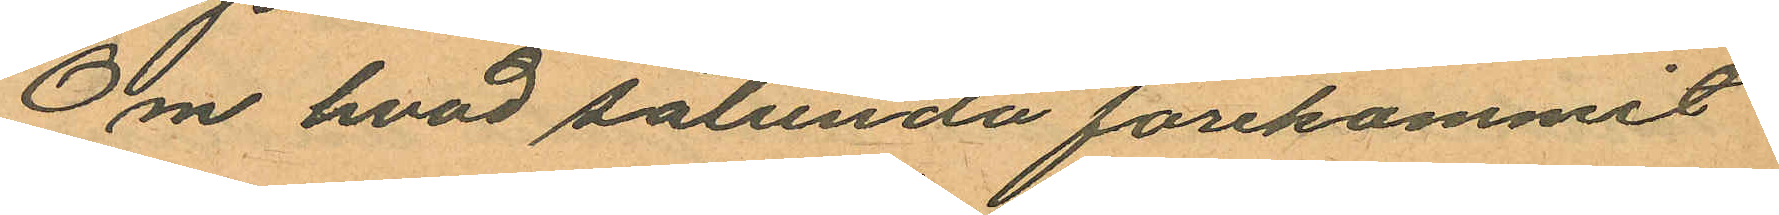Om hvad sålunda förekommit
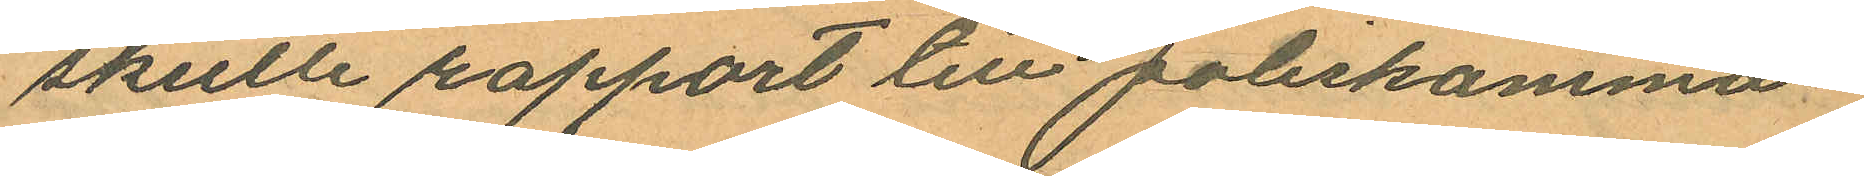skulle rapport till poliskamma¬
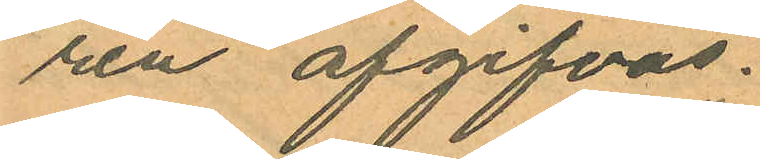ren afgifvas.
